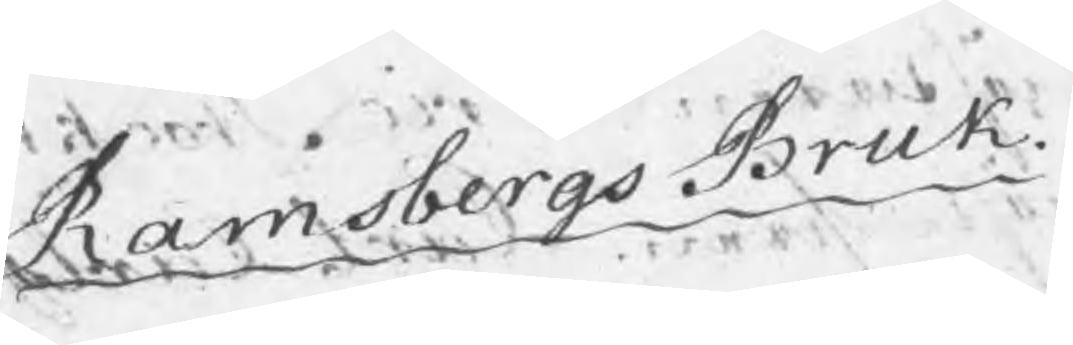Ramsbergs Bruk
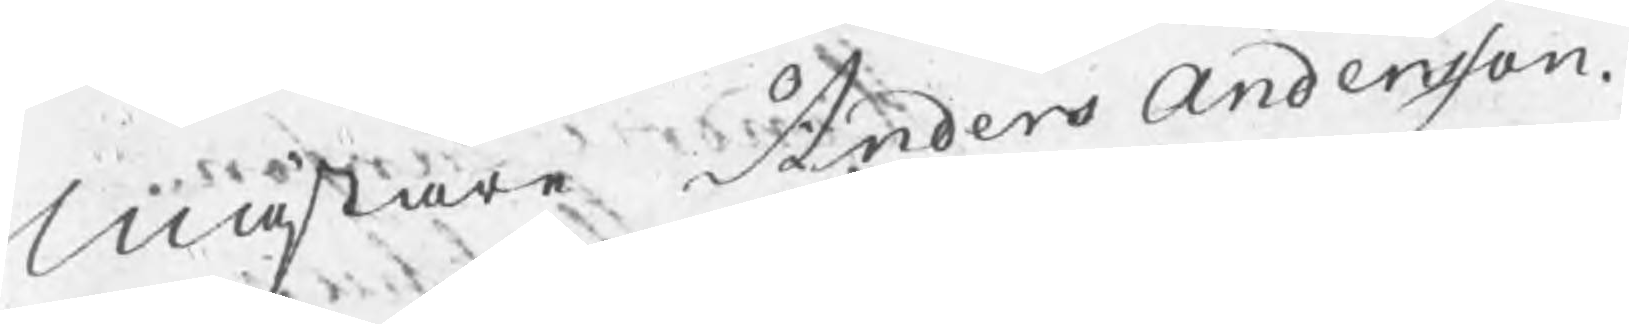Mästare Anders Andersson.
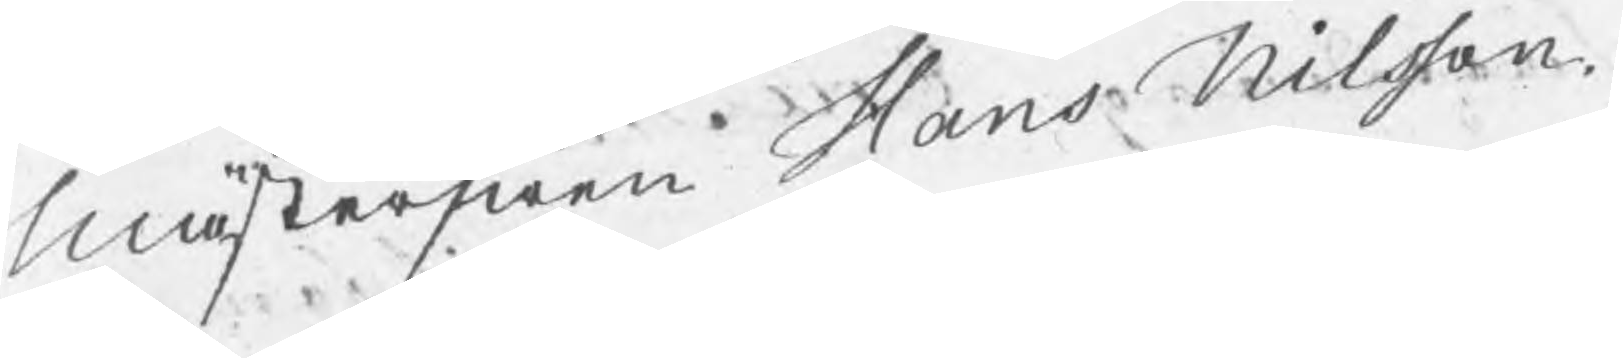Mästerswen Hans Nilsson.
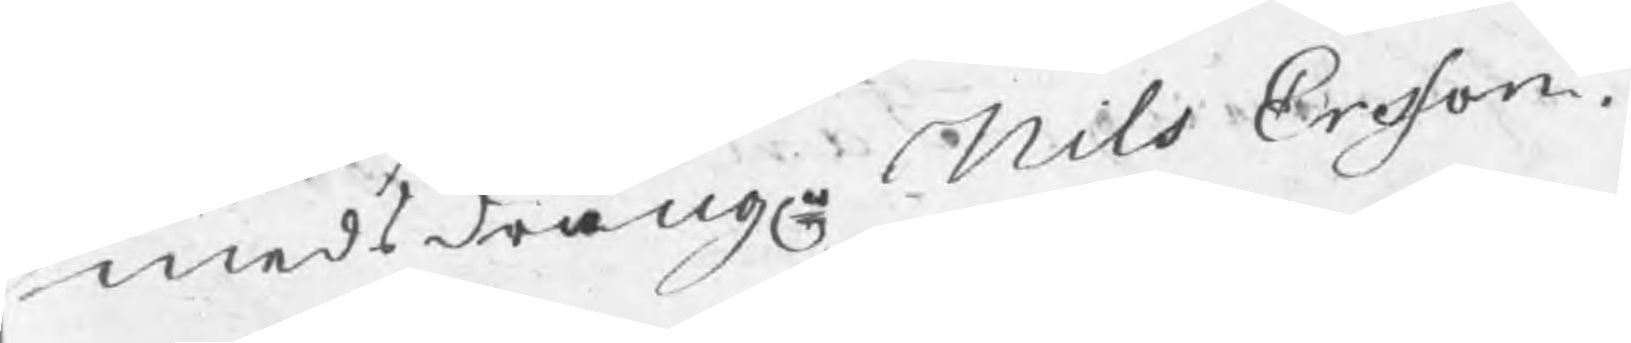Smedsdräng Nils Ersson.
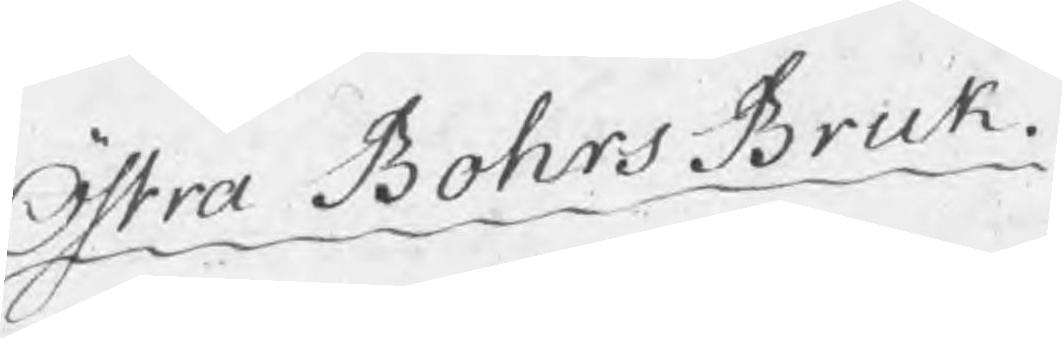Östra Bohrs Bruk.
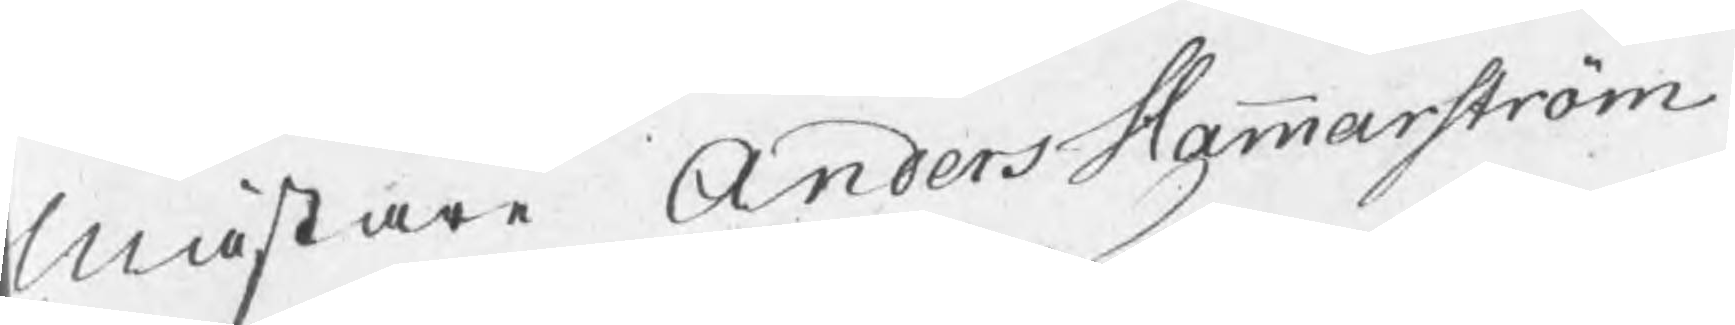Mästare Anders Hammarström
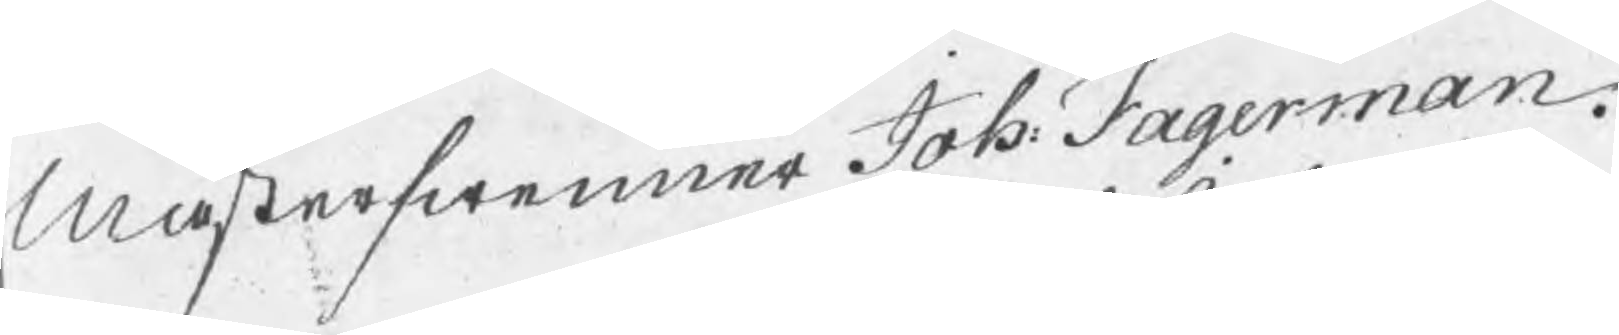Mästerswenner Joh: Fagerman.
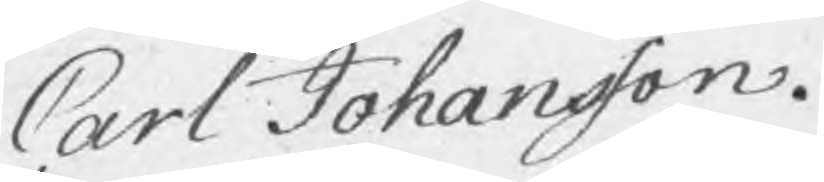Carl Johansson.
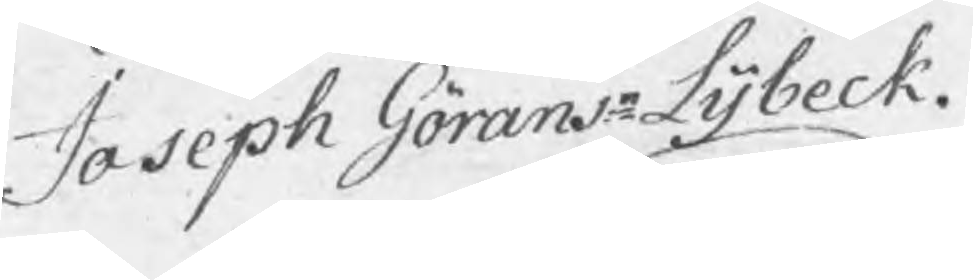Joseph Göransn Lybeck.
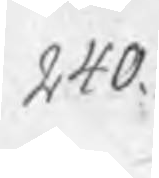240.
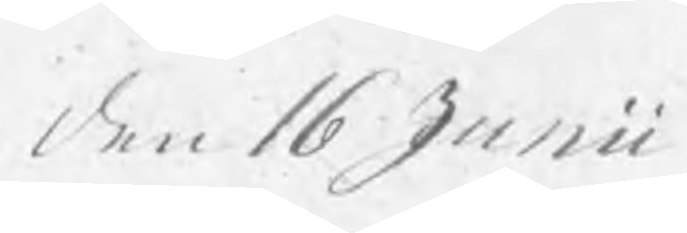den 16 Junii
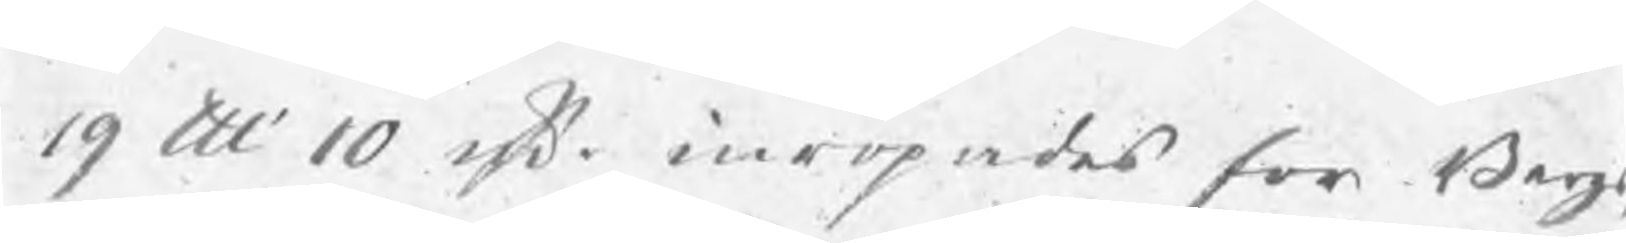19 ut 10 rsk. inropades för Bergs
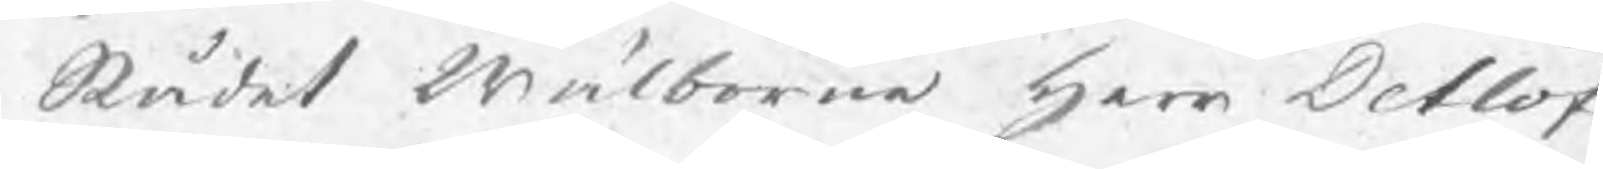Rådet Wälborne Herr Detlof
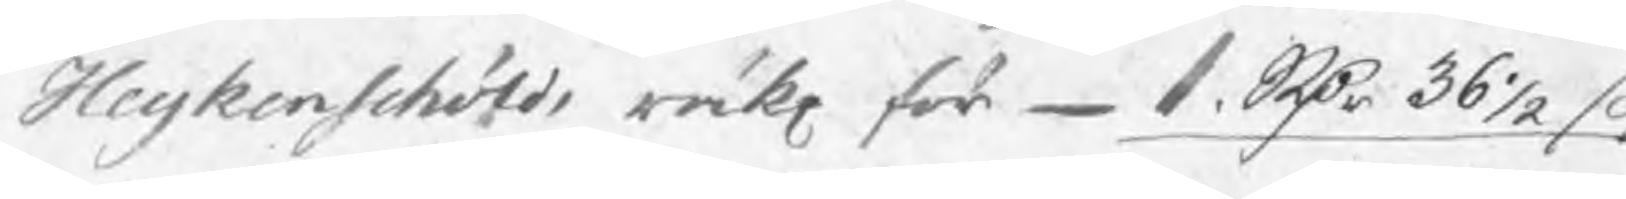Heijkenschölds räk för  1 Rdr 36½ s
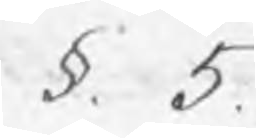§ 5.
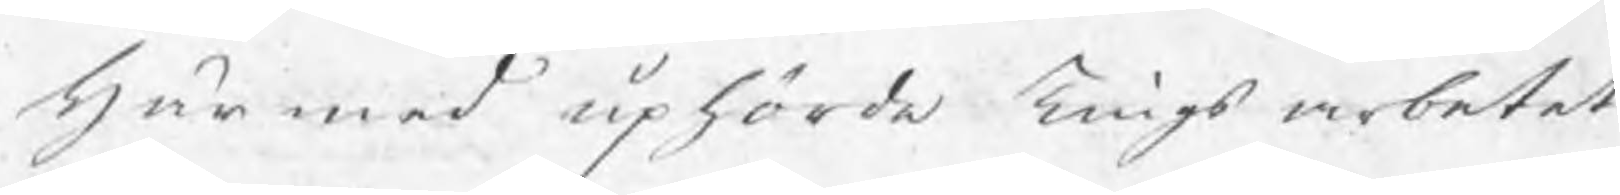Här med uphörde Tingsarbetet
